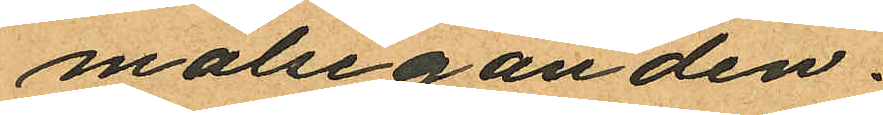målseganden.
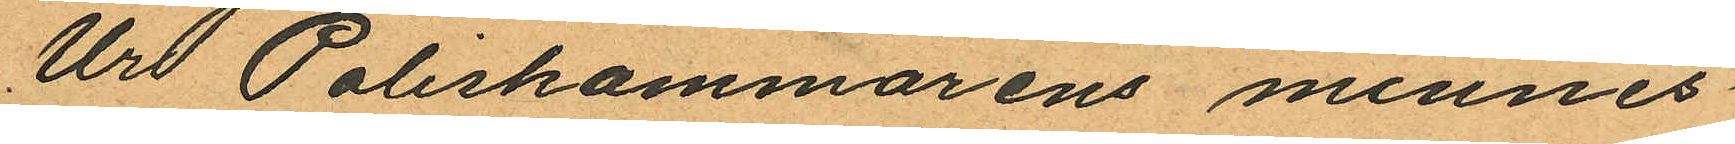Ur Poliskammarens minnes¬
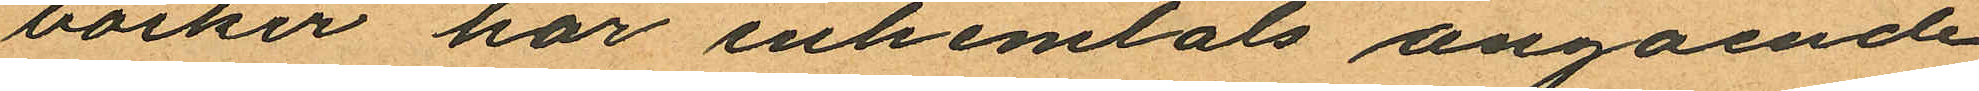böcker har inhemtats angående
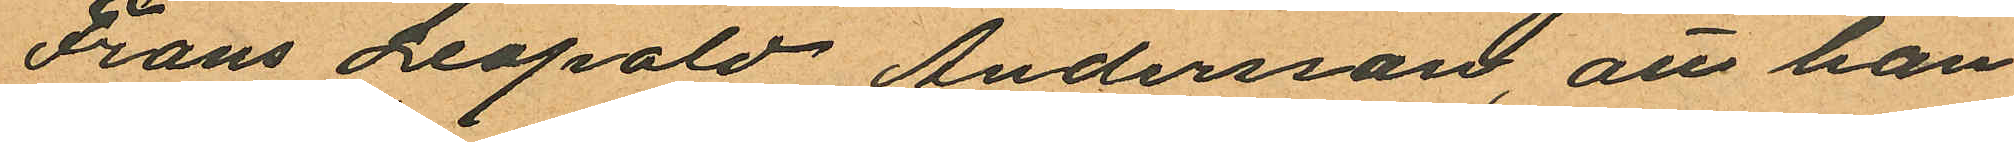Frans Leopold Andersson, att han
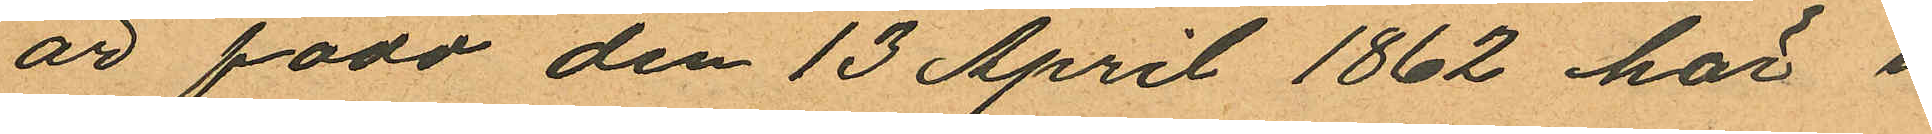är född den 13 April 1862 här i
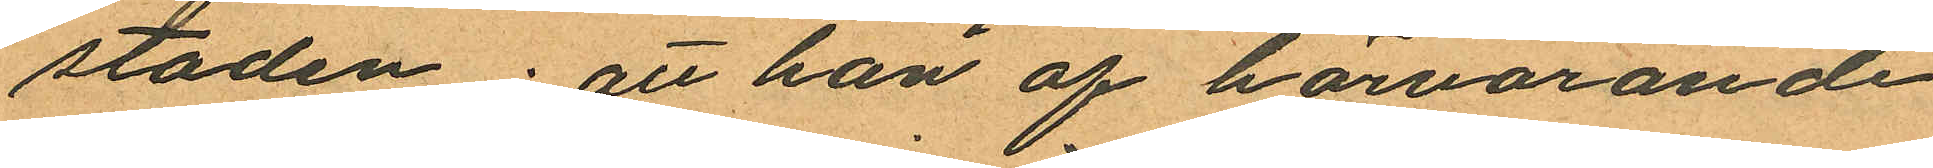staden; att han af härvarande
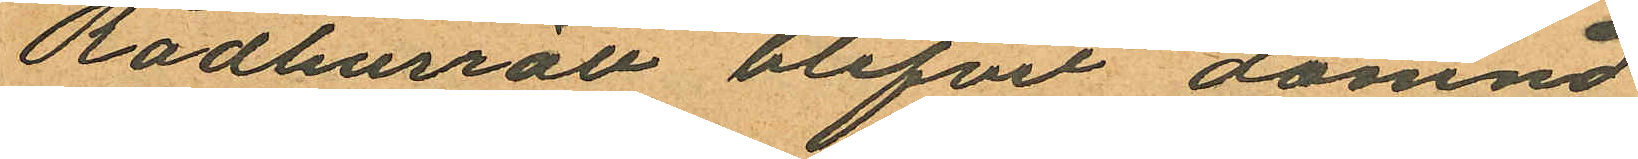Rådhusrätt blifvit dömnd
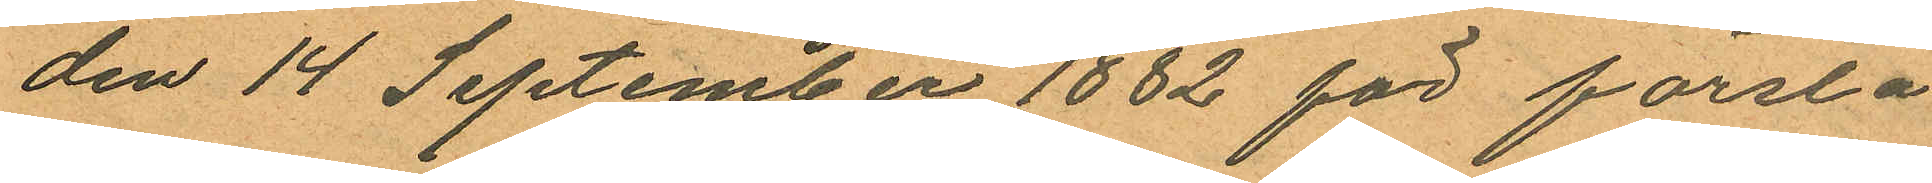den 14 September 1882 för första
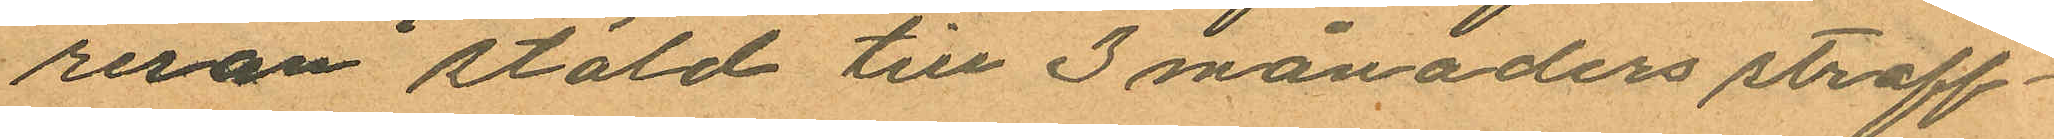resan stöld till 3 månaders straff¬
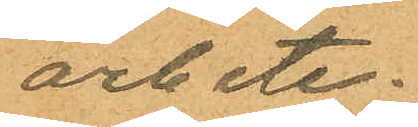arbete;
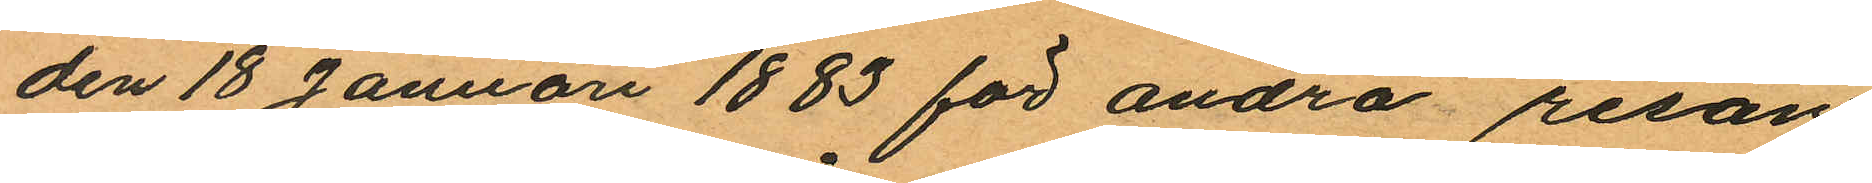den 18 Januari 1883 för andra resan
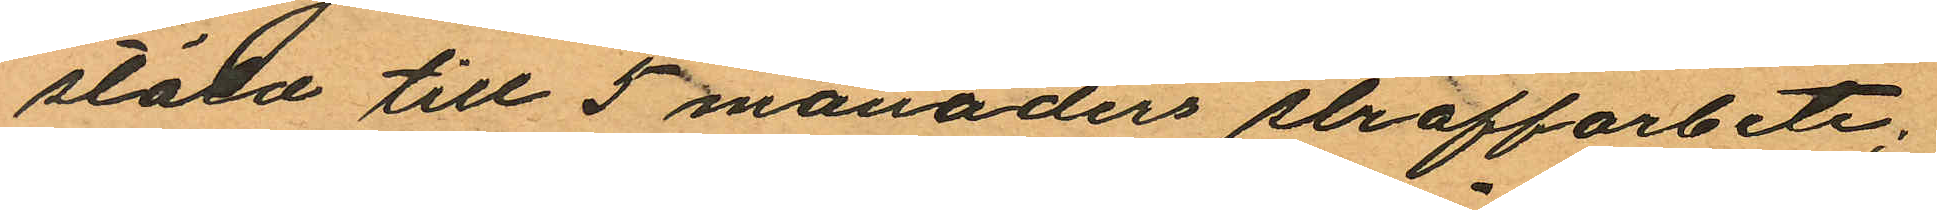stöld till 5 månaders straffarbete;
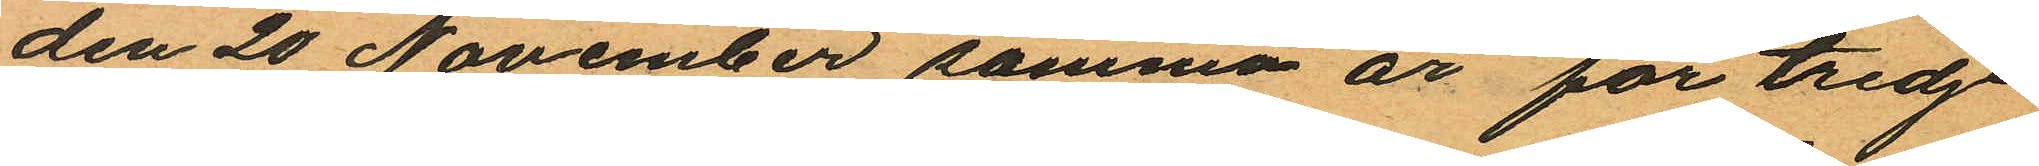den 20 November samma år för tredje
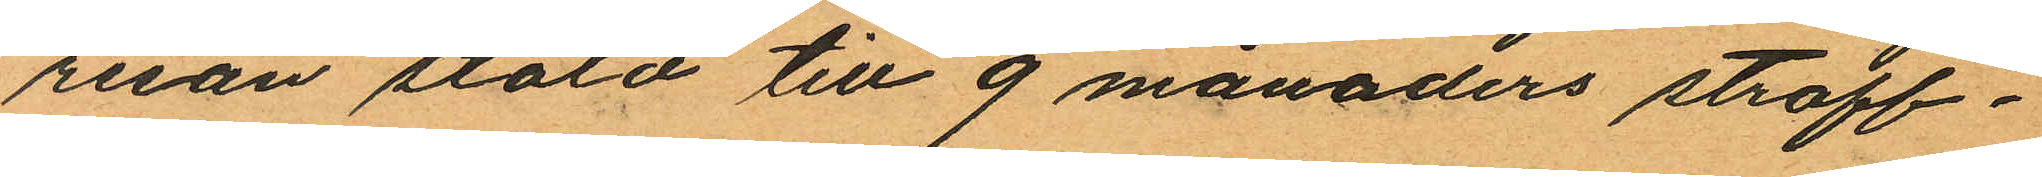resan stöld till 9 månaders straff¬
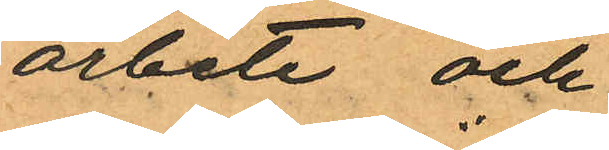arbete och
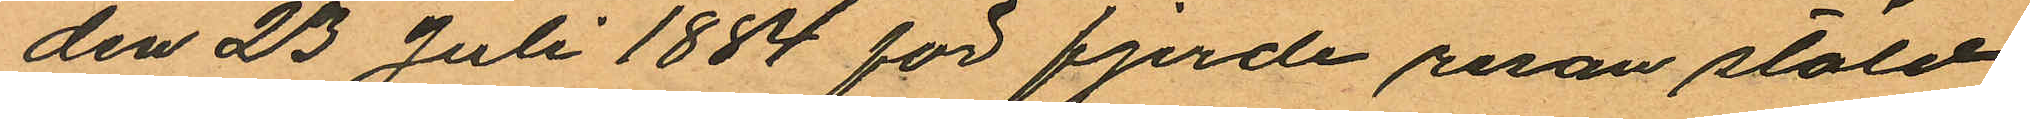den 23 Juli 1884 för fjerde resan stöld
